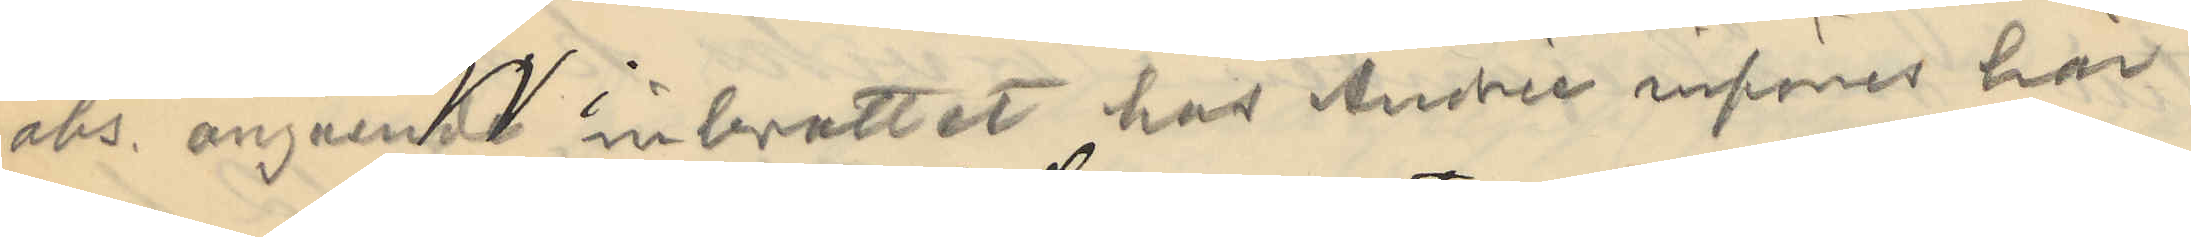obs. angående inbrottet hos Andrée införes här
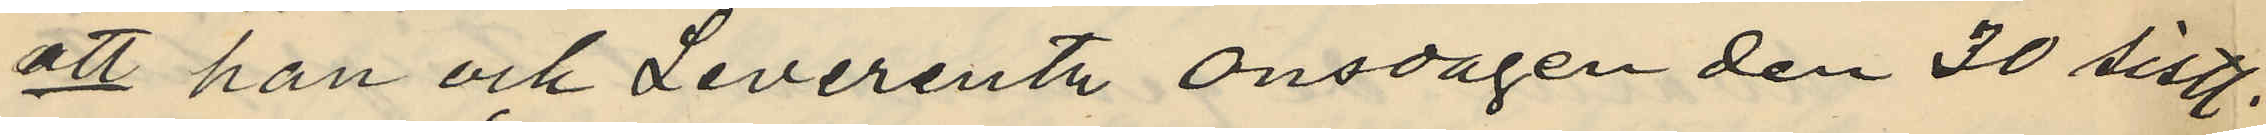att han och Leverentz onsdagen den 30 sistl.
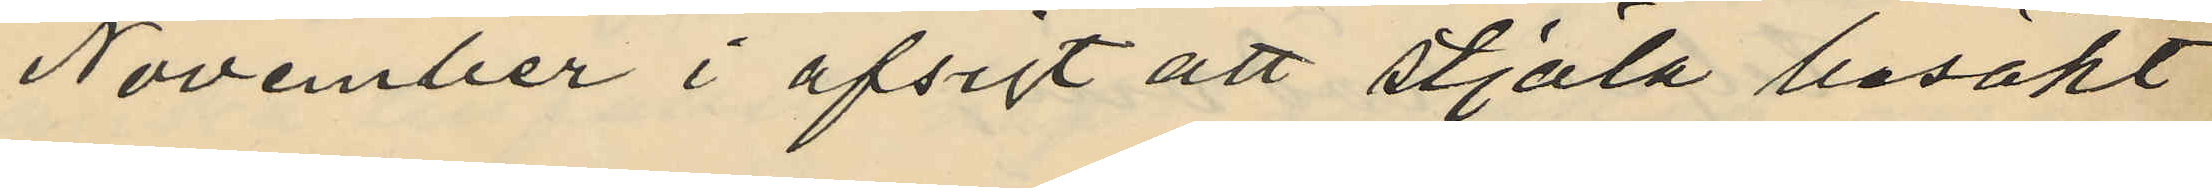November i afsigt att stjäla besökt
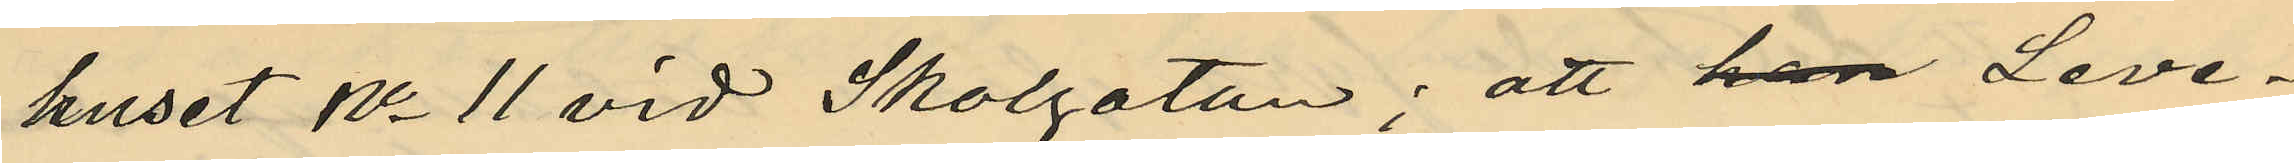huset No 11 vid Skolgatan; att han Leve¬
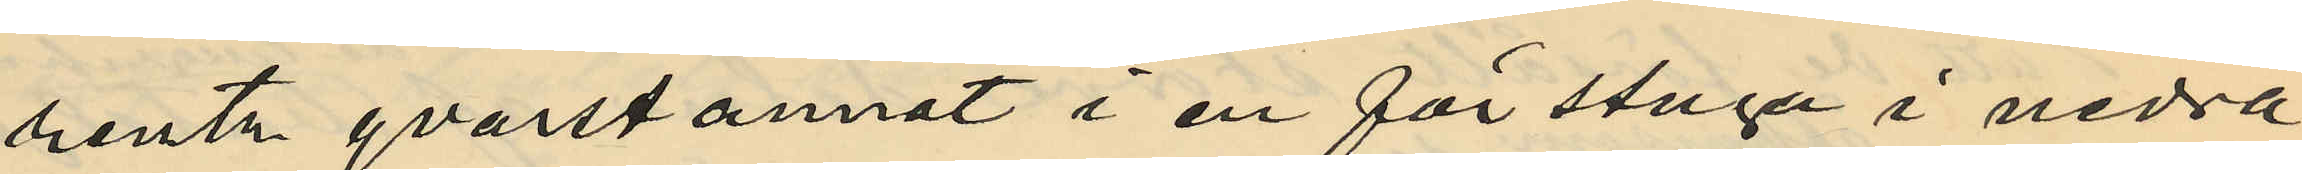rentz qvarstannat i en förstuga i nedra
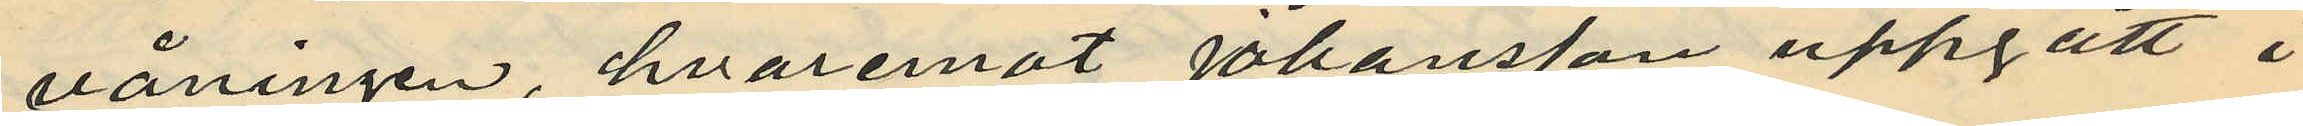våningen, hvaremot Johansson uppgått i
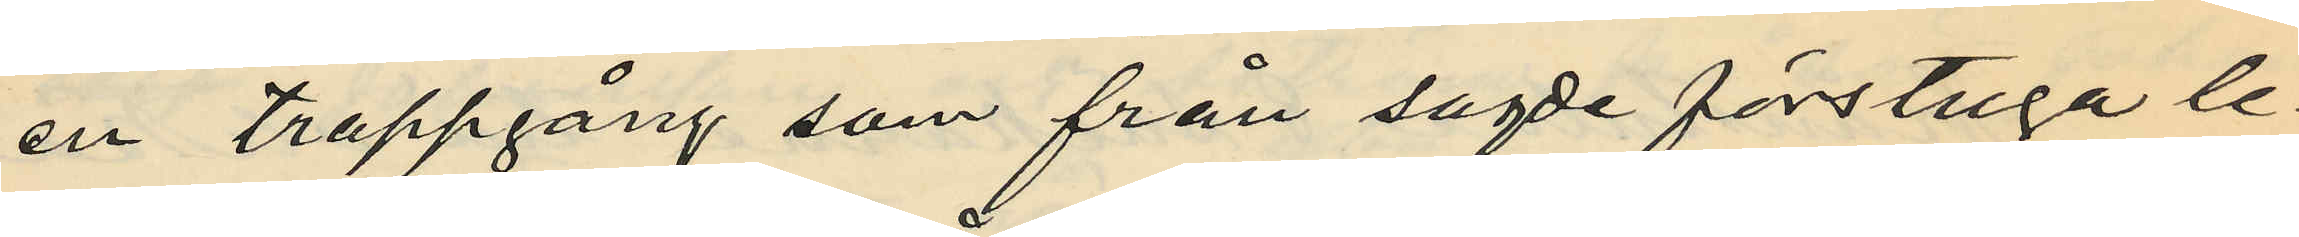en trappgång som från sagde förstuga le¬
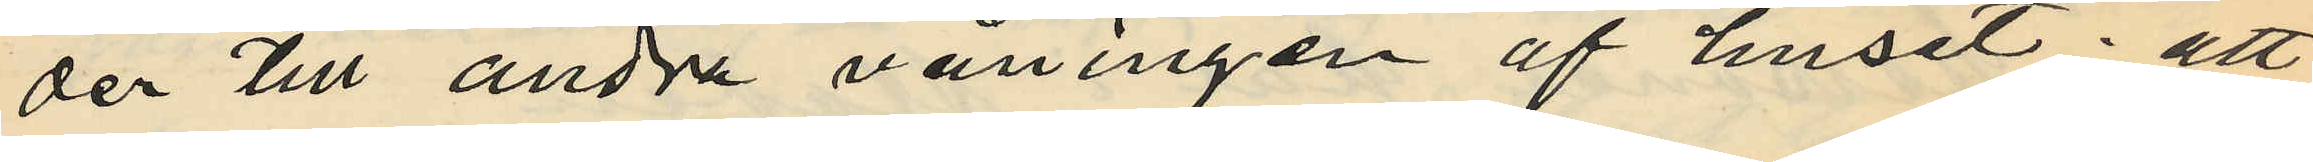der till andra våningen af huset; att
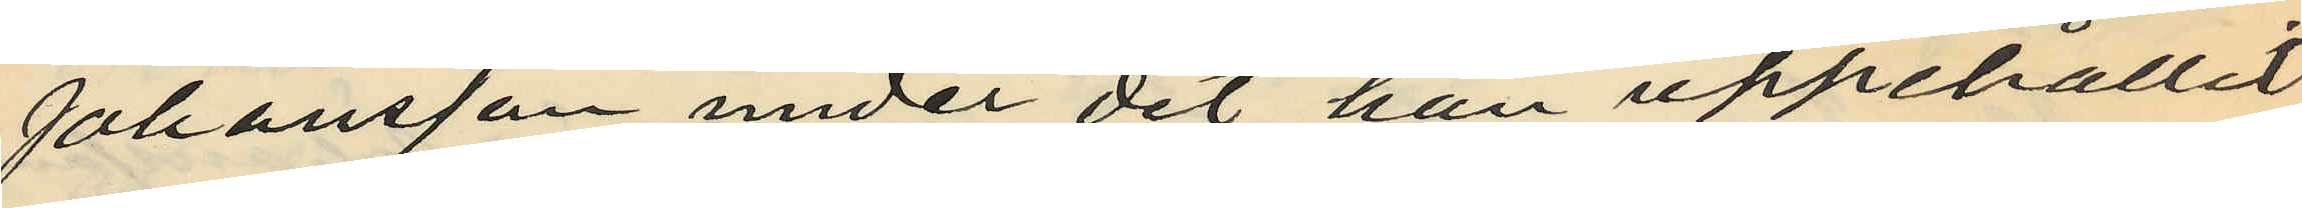Johansson under det han uppehållit
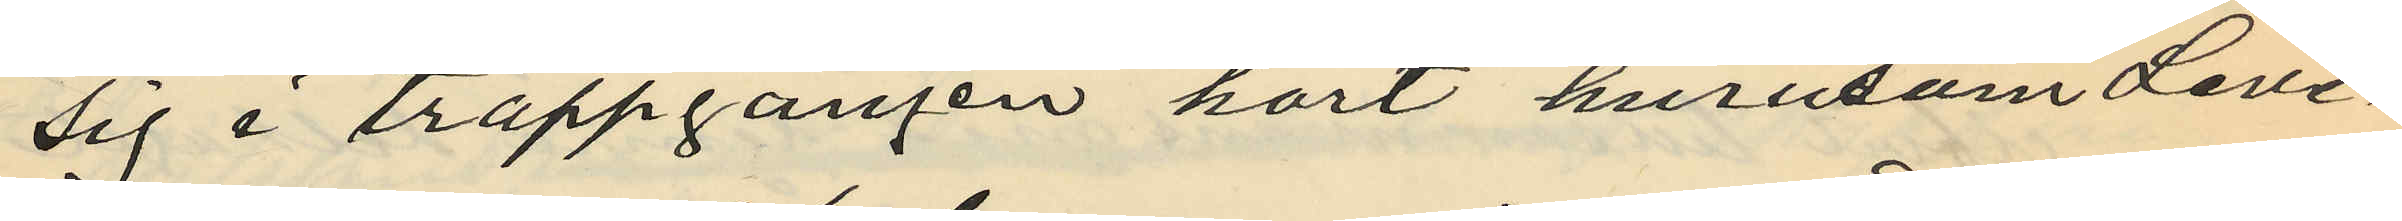sig i trappgången hört hurusom Leve¬
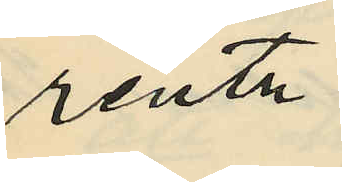rentz
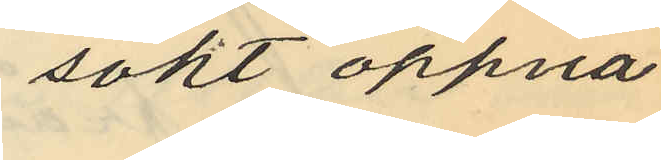sökt öppna
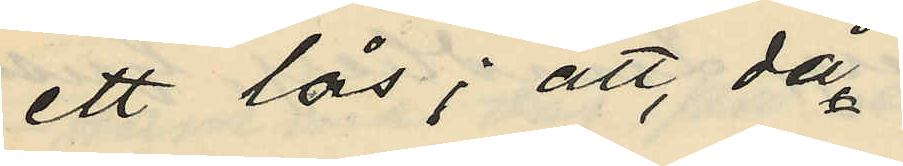ett lås; att, då
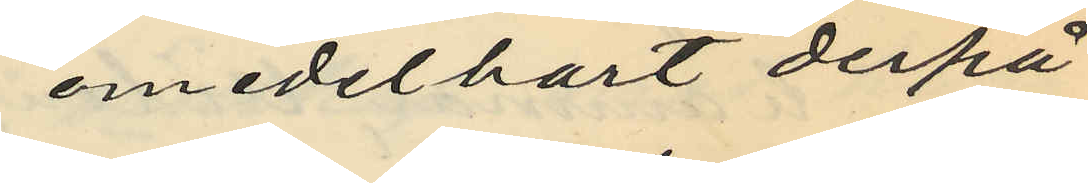omedelbart derpå
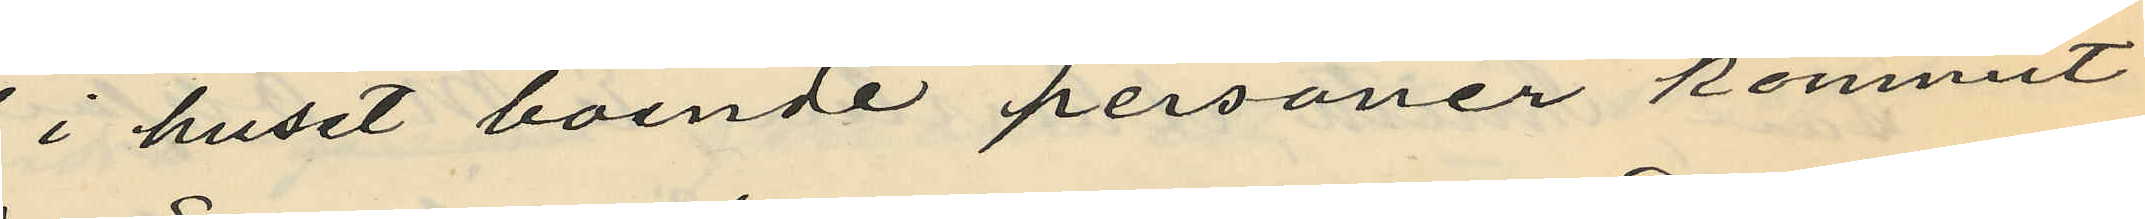i huset boende personer kommit
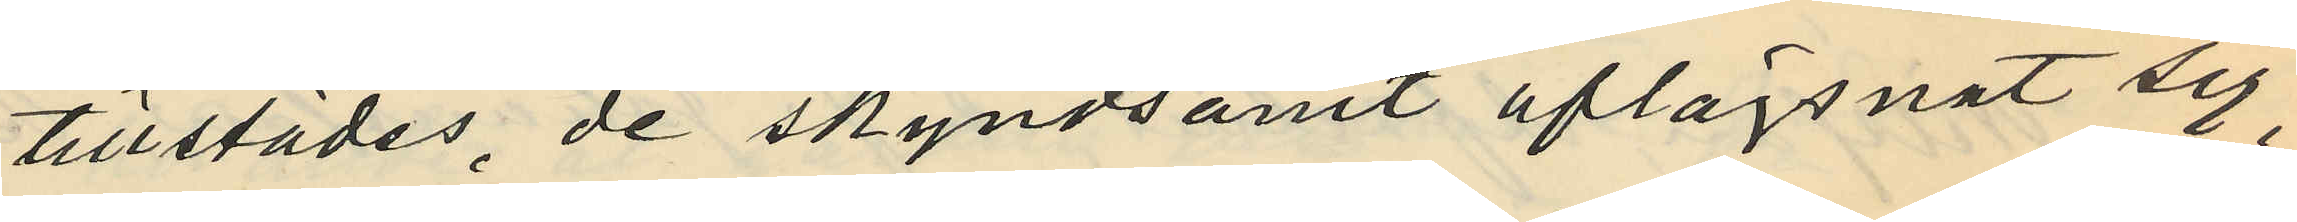tillstädes, de skyndsamt aflägsnat sig;
